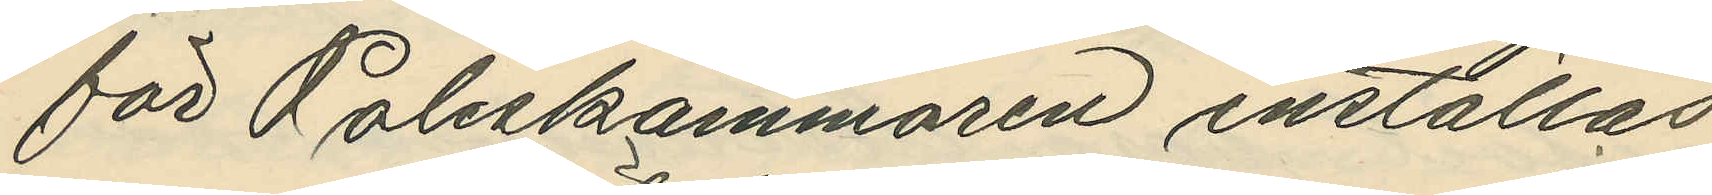för Poliskammaren inställas.
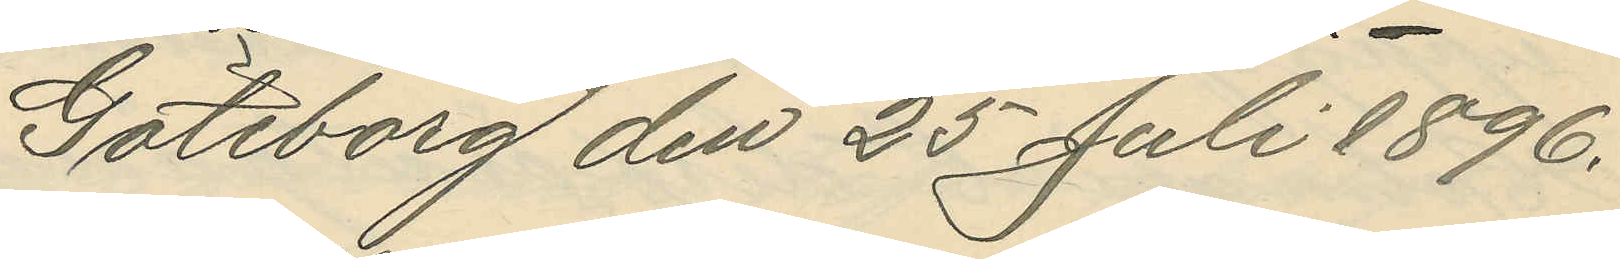Göteborg den 25 Juli 1896.
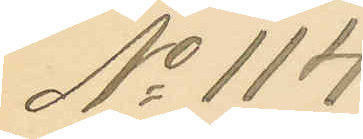No 114.
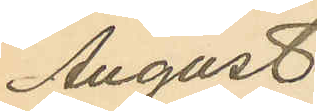August
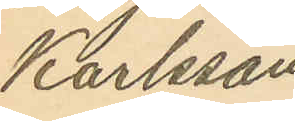Karlsson
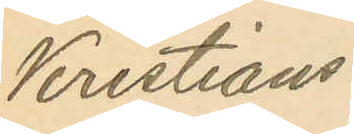Kristians¬
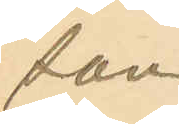son
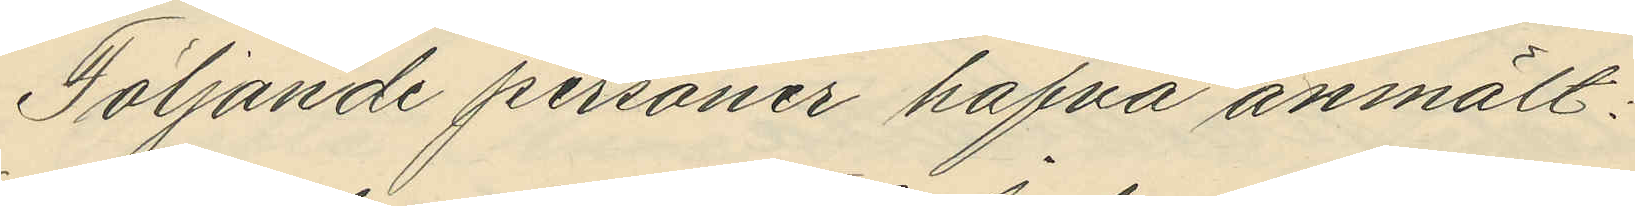Följande personer hafva anmält:
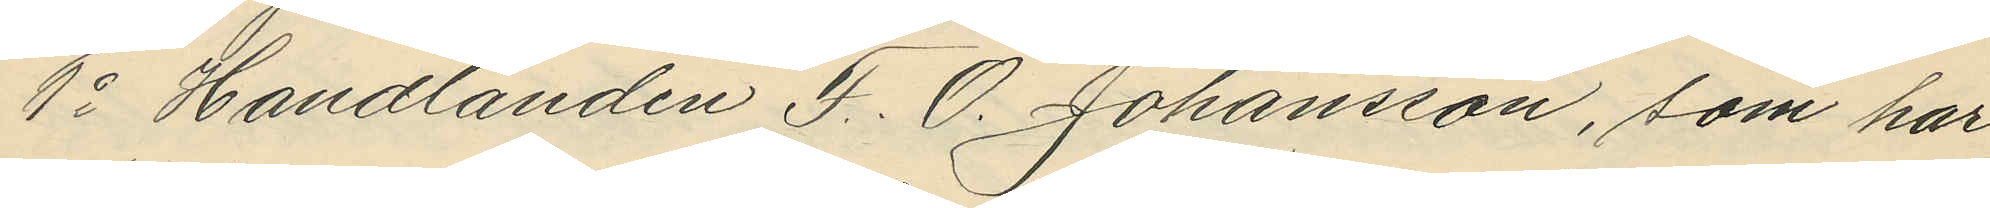1o Handlanden F. O. Johansson, som har
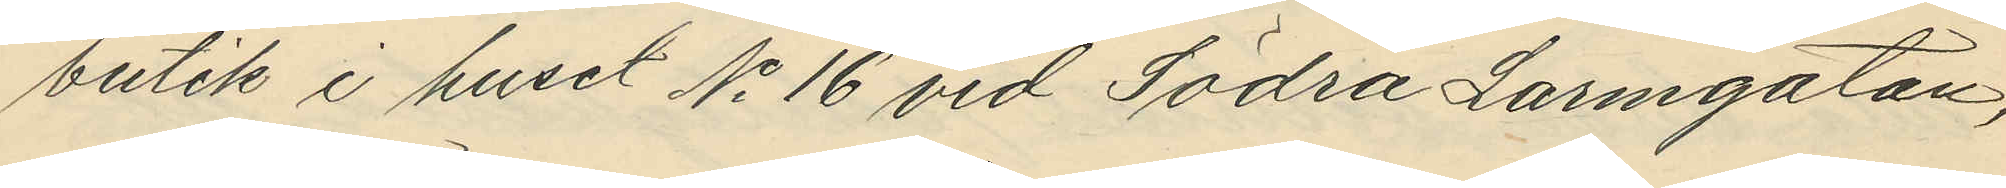butik i huset No 16 vid Södra Larmgatan,
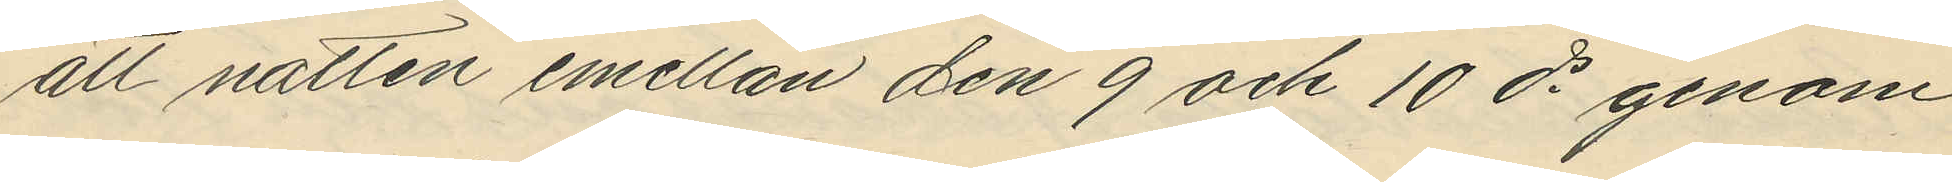att natten emellan den 9 och 10 ds genom
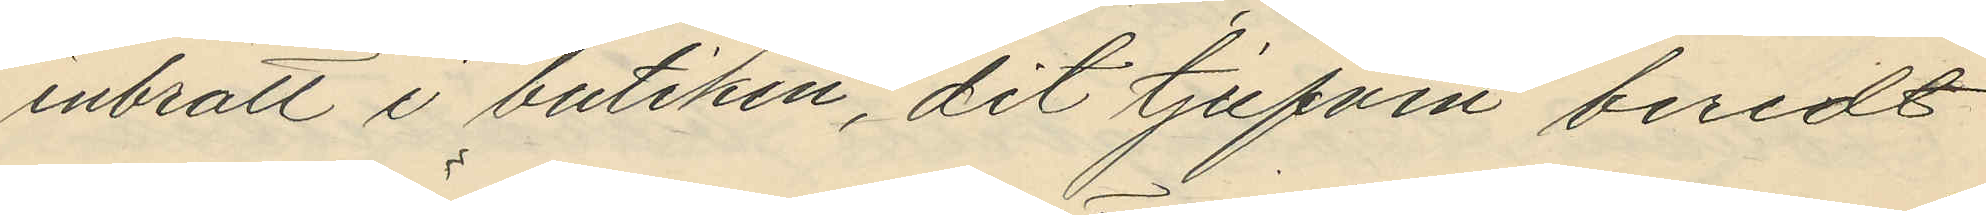inbrott i butiken, dit tjufven beredt
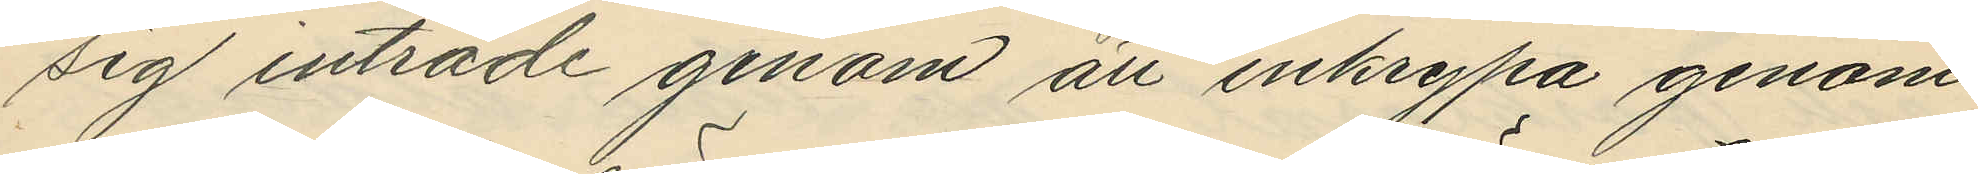sig inträde genom att inkrypa genom
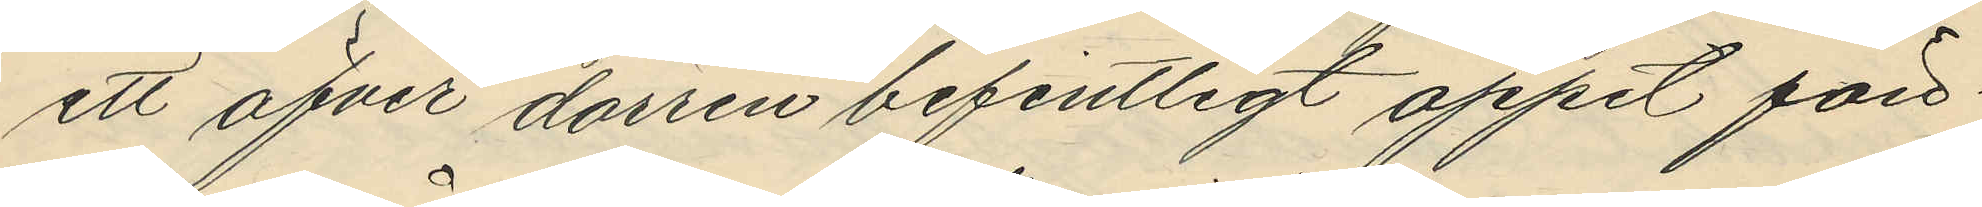ett öfver dörren befintligt öppet fön¬
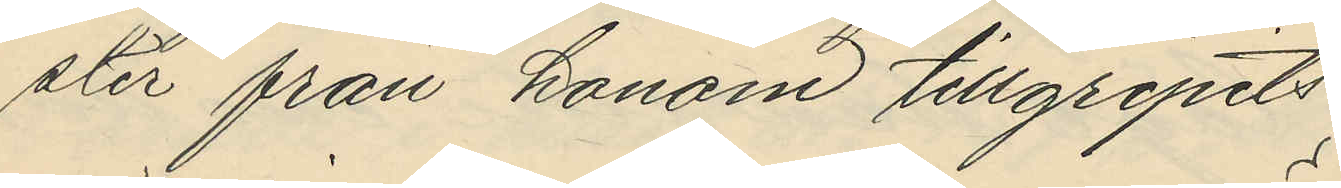ster från honom tillgripits
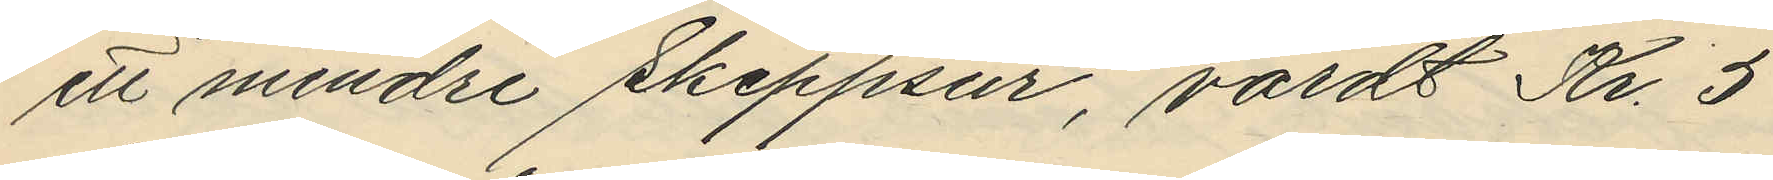ett mindre Skeppsur, värdt Kr. 5
